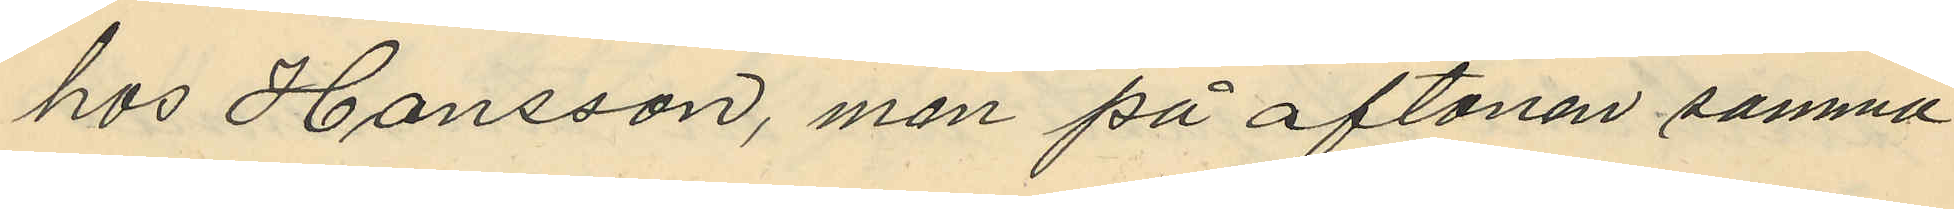hos Hansson, men på aftonen samma
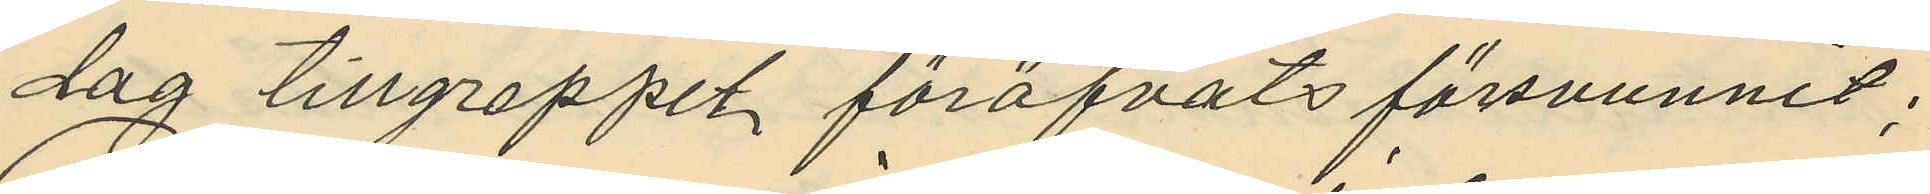dag tillgreppet föröfvats försvunnit;
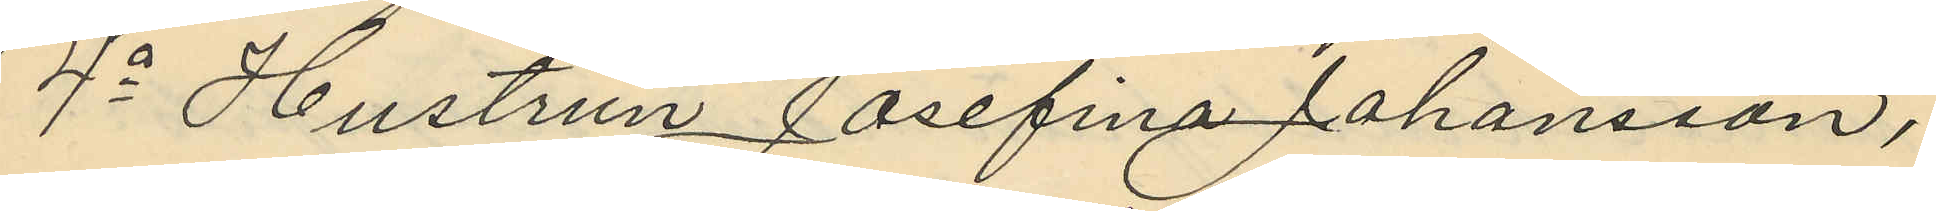4o Hustrun Josefina Johansson,
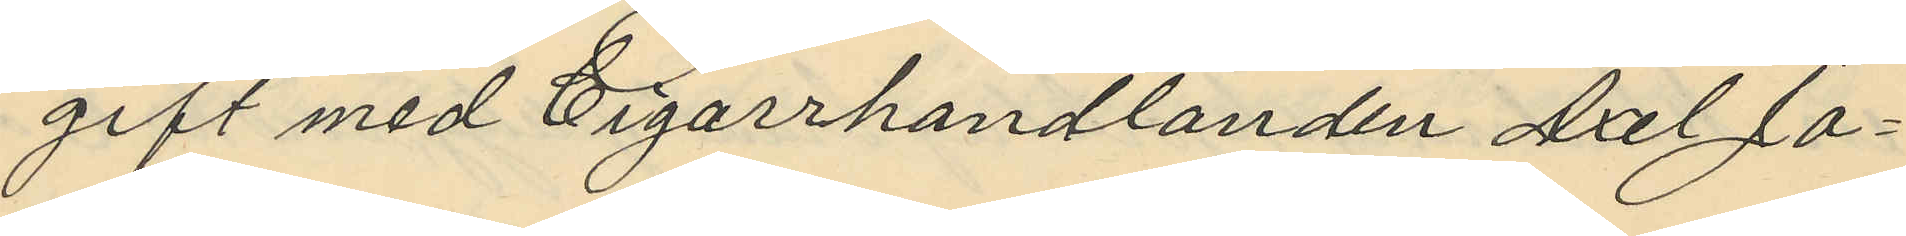gift med Cigarrhandlanden Axel Jo¬
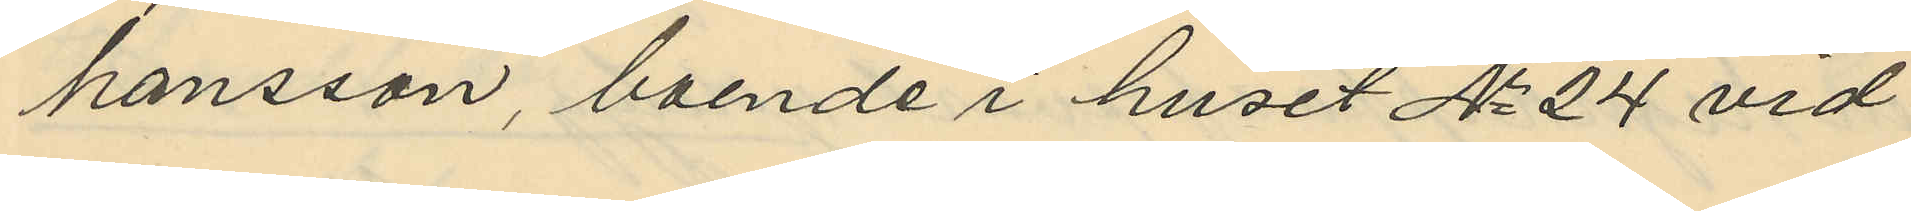hansson, boende i huset No 24 vid
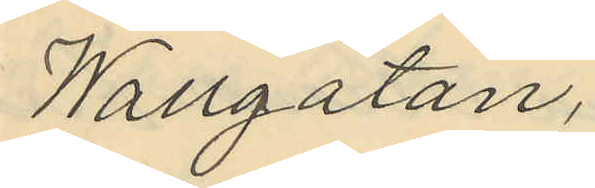Wallgatan,
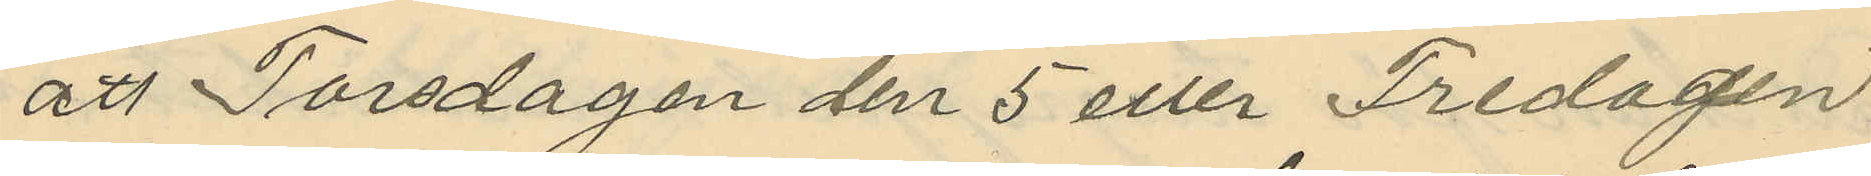att Torsdagen den 5 eller Fredagen
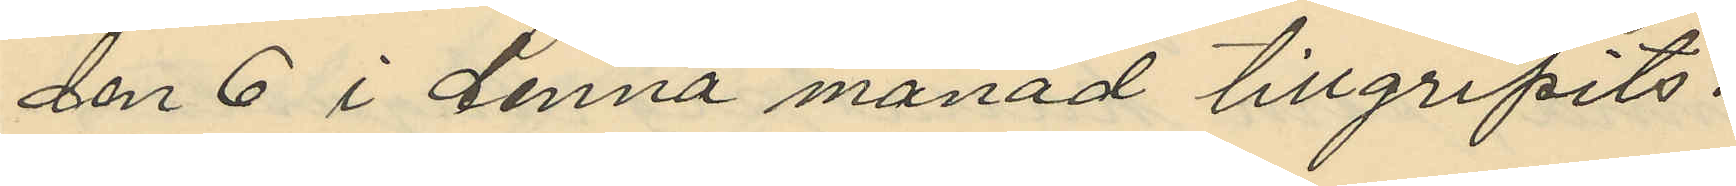den 6 i denna månad tillgripits:
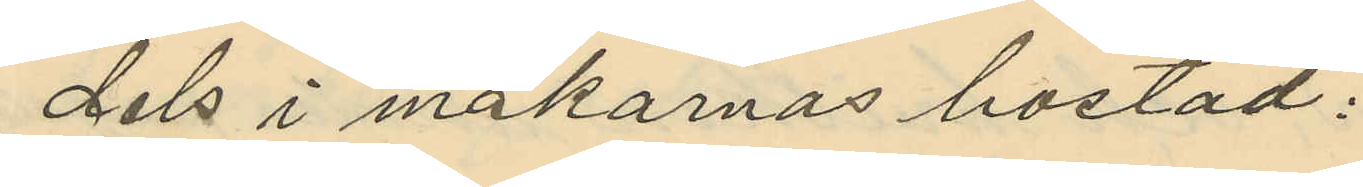dels i makarnas bostad:
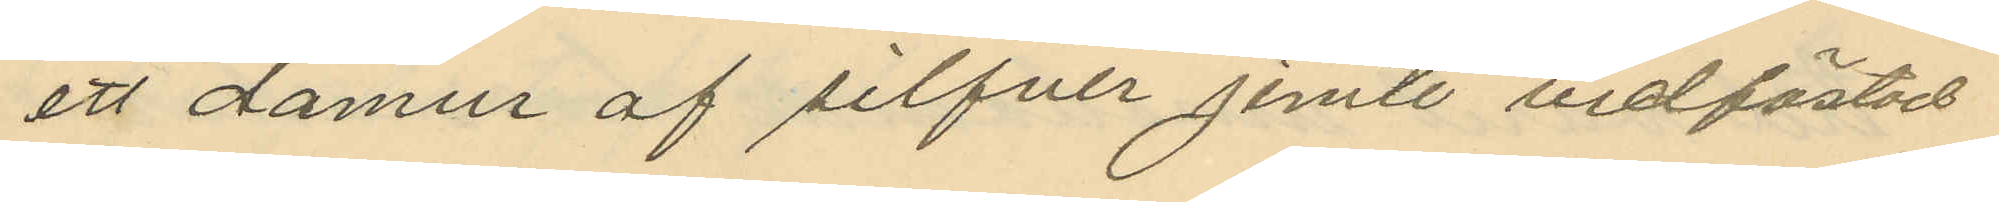att damur af silfver jemte vidfästad
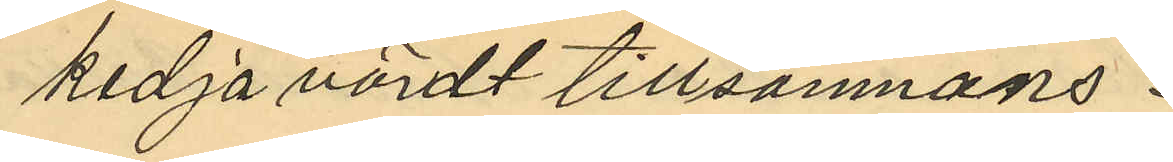kedja värdt tillsammans
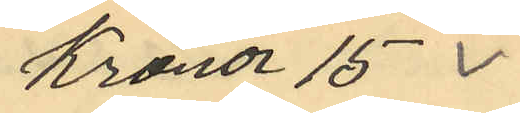Kronor 15
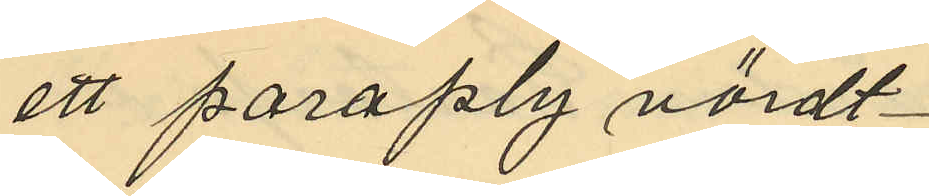ett paraply värdt
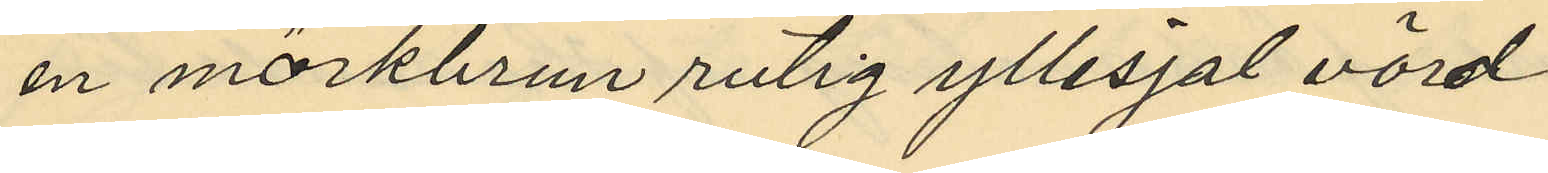en mörkbrun rutig yllesjal värd
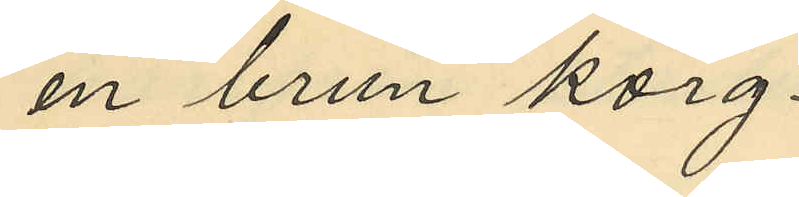en brun korg
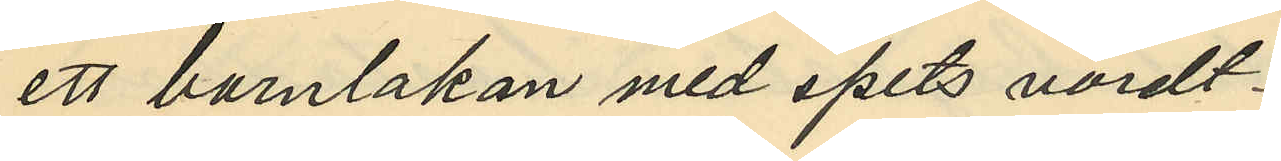ett barnlakan med spets värdt
